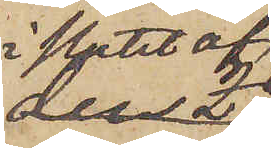i slutet af
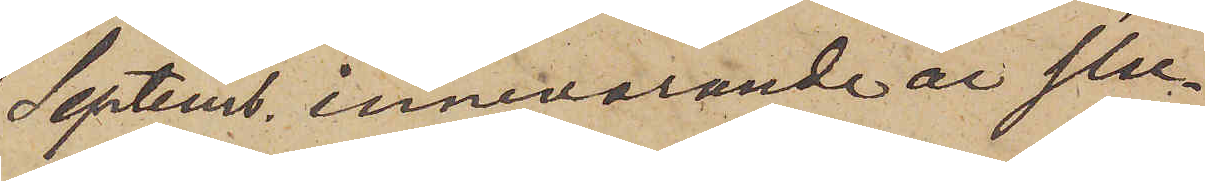Septemb. innevarande år star¬
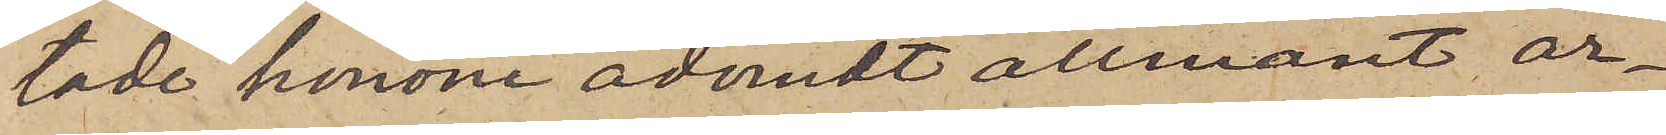tade honom ådömt allmänt ar¬
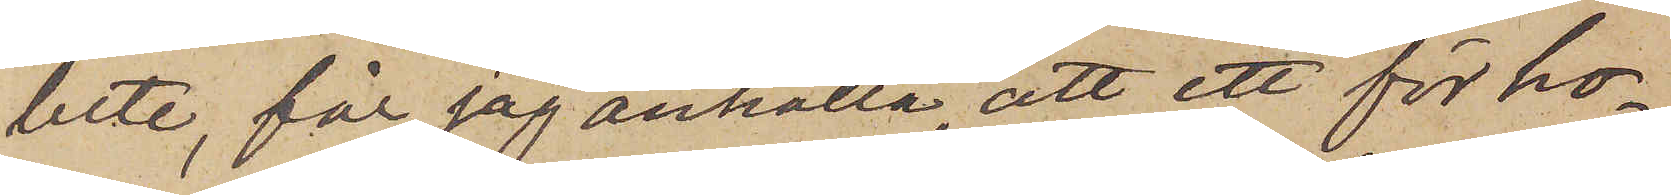bete, får jag anhålla, att ett för ho¬
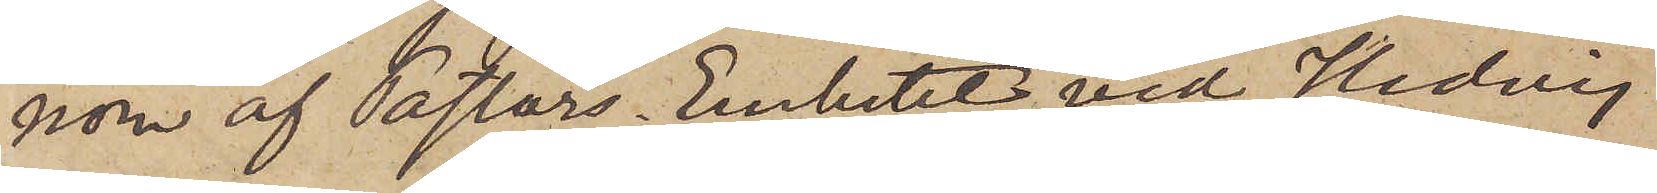nom af Pastors Embetet vid Hedvig
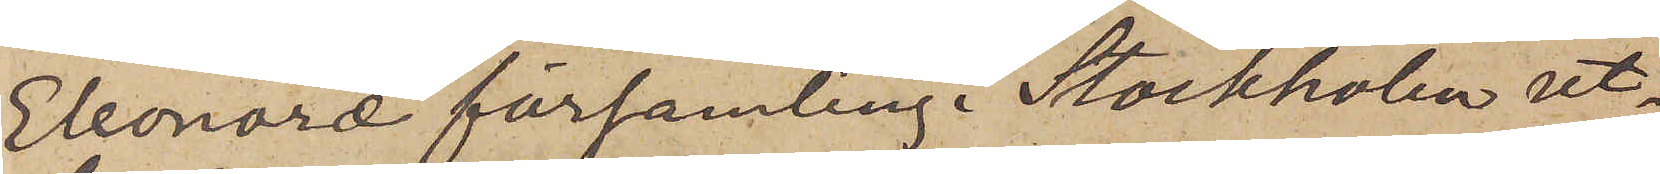Eleonora församling i Stockholm ut¬
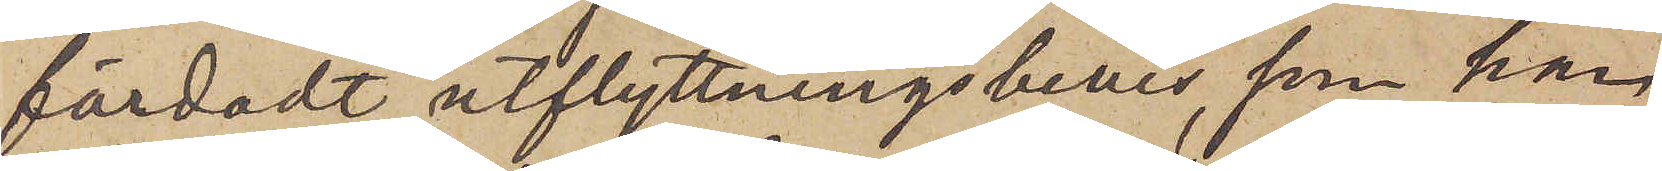färdadt utflyttningsbevis, som han
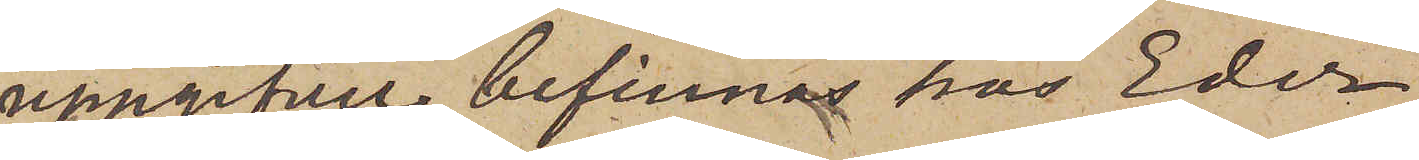uppgifver befinnes hos Eder,
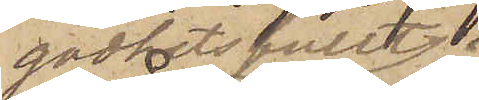godhetsfullt
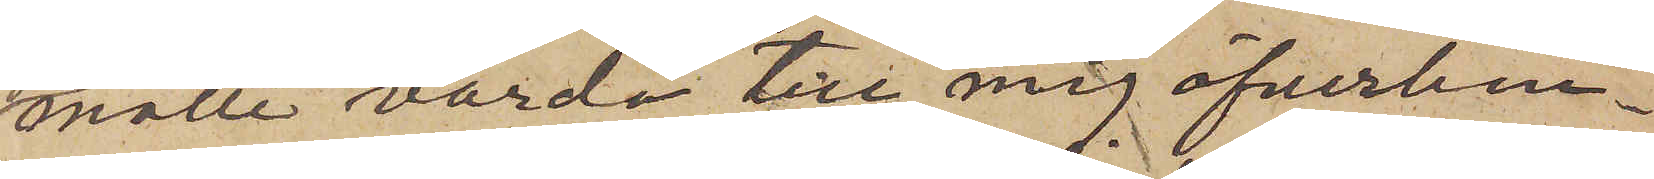måtte varda till mig öfverlem¬
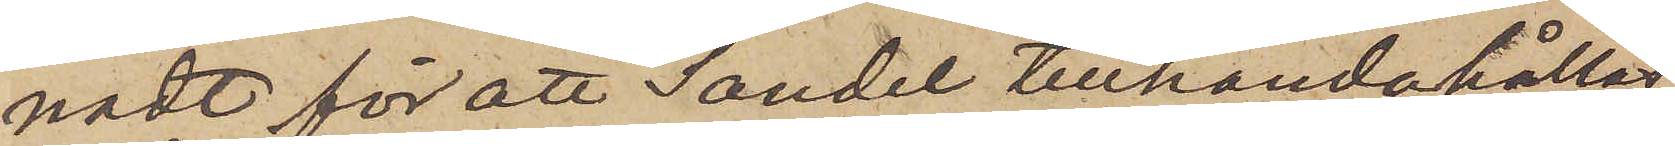nadt för att Sandel tillhandahållas.
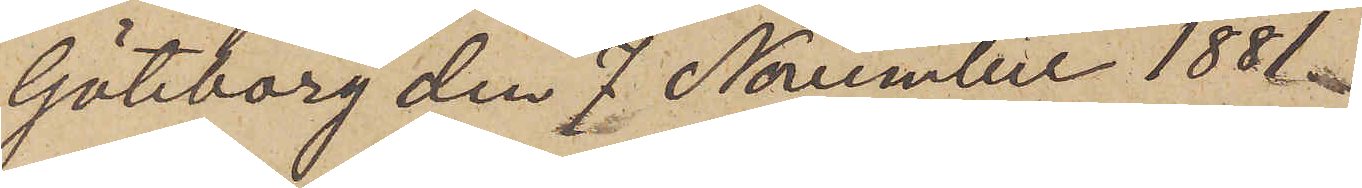Göteborg den 7 November 1881.
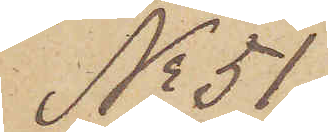No 51.
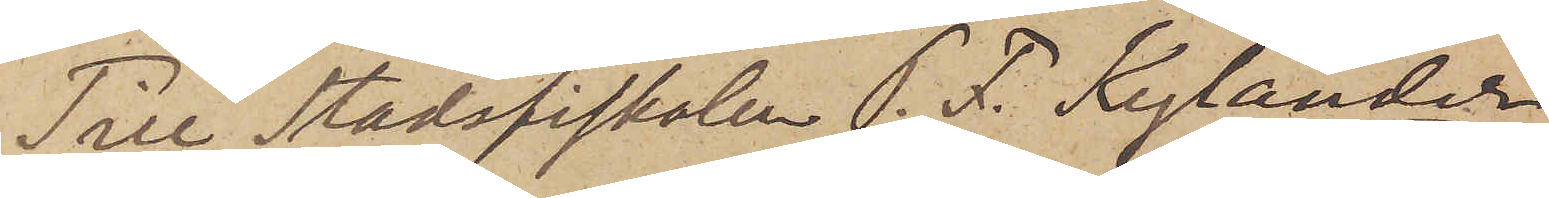Till Stadsfiskalen P. F. Kylander
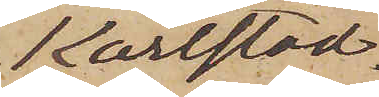Karlstad.
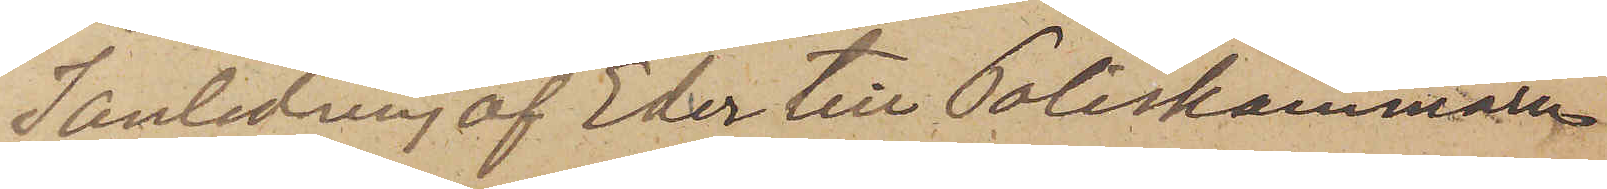I anledning af Eder till Poliskammaren
